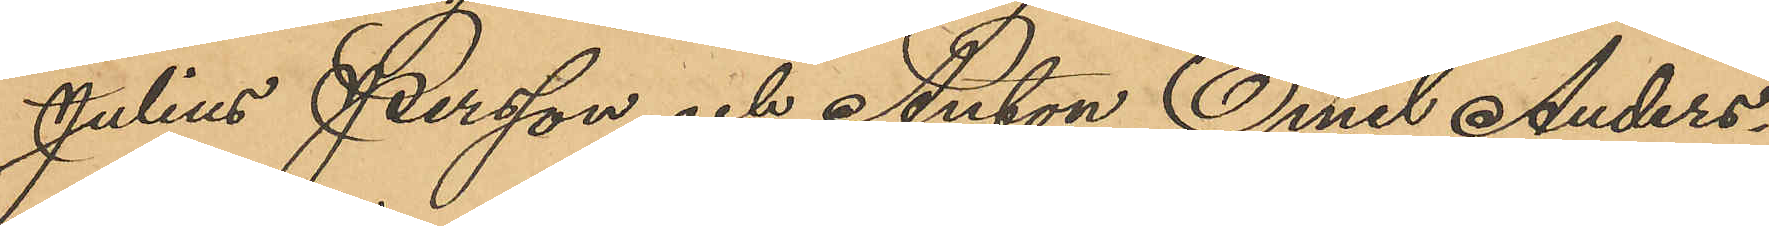Julius Persson och Anton Emil Anders¬
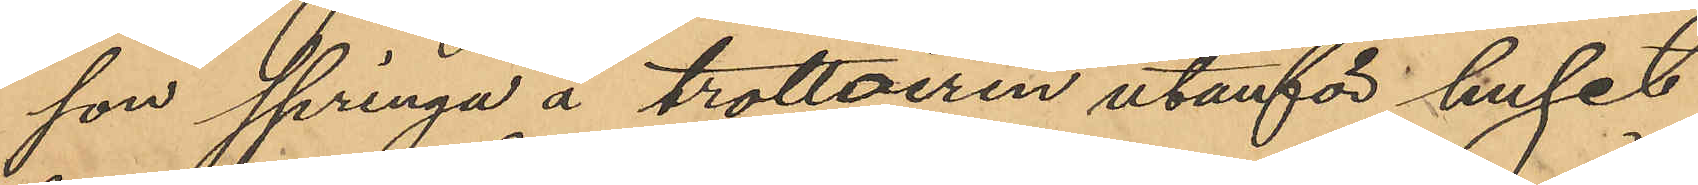son springa å trottoiren utanför huset
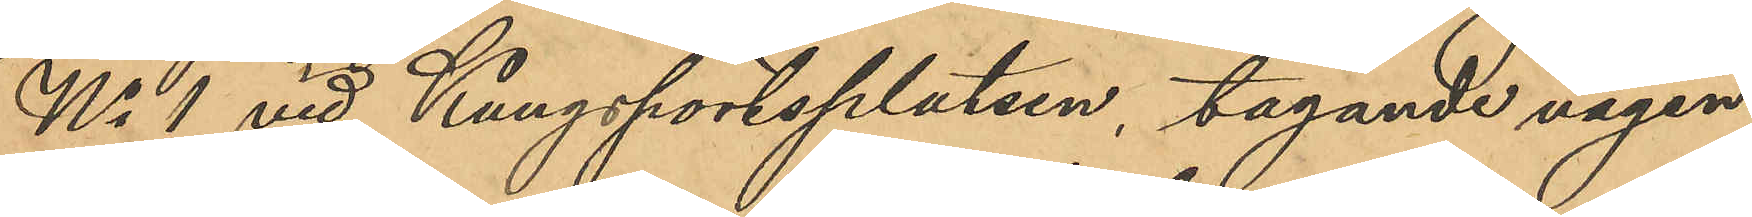No 1 vid Kungsportsplatsen, tagande vägen
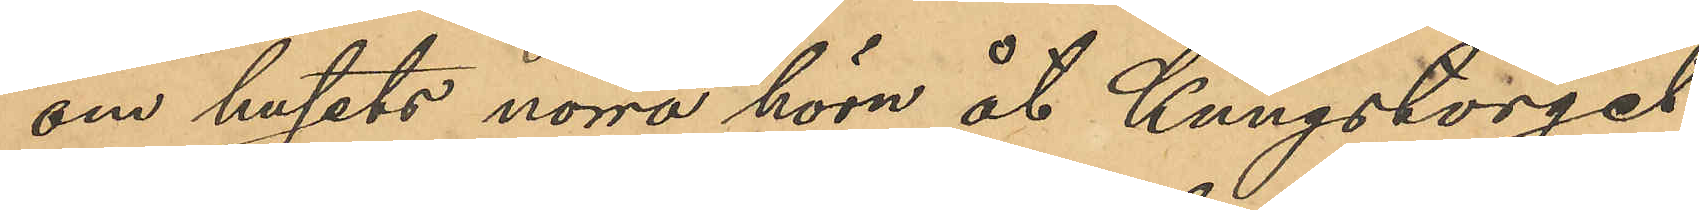om husets norra hörn åt Kungstorget
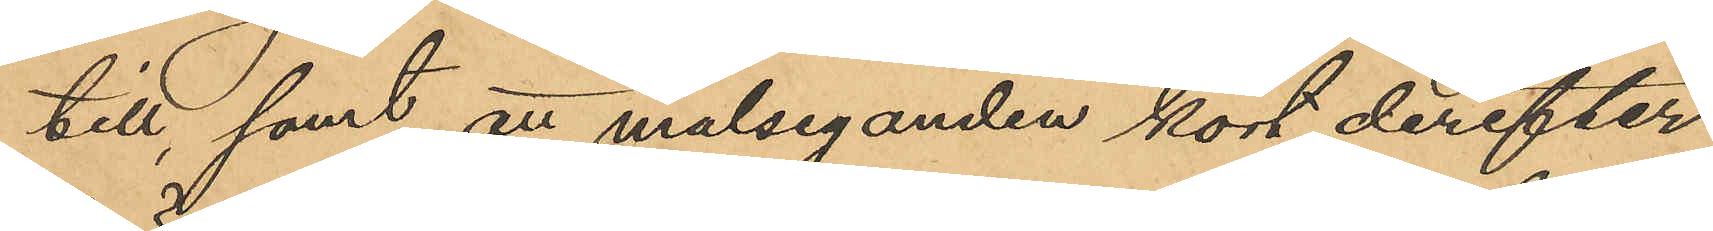till, samt att målseganden kort derefter
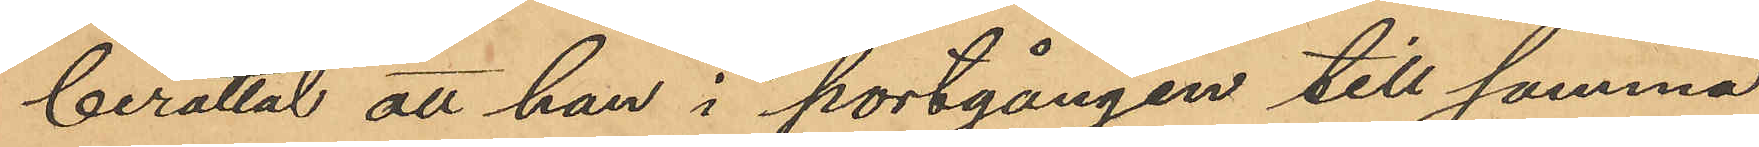berättat att han i portgången till samma
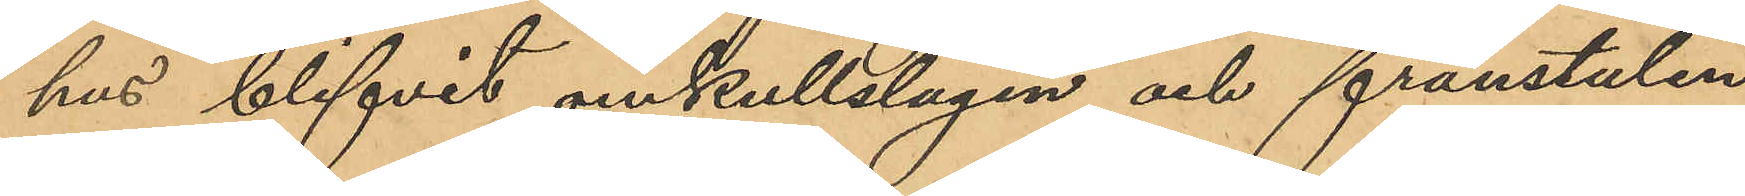hus blifvit omkullslagen och frånstulen
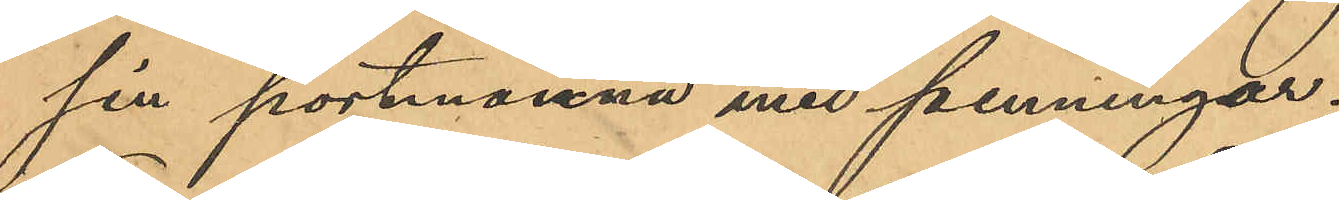sin portmonnä med penningar;
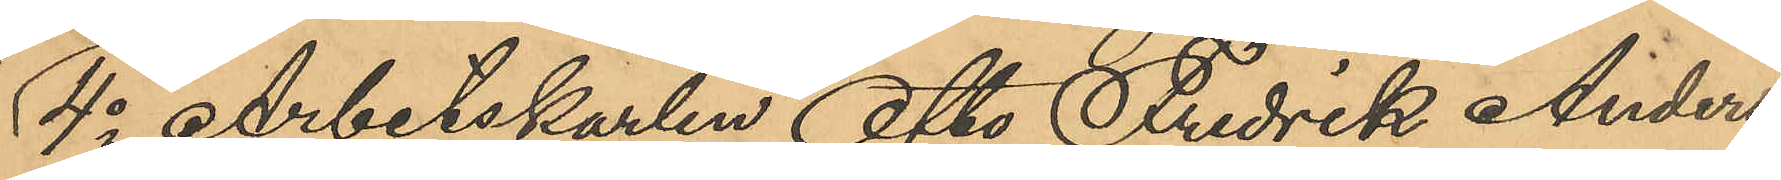4o Arbetskarlen Otto Fredrik Anders¬
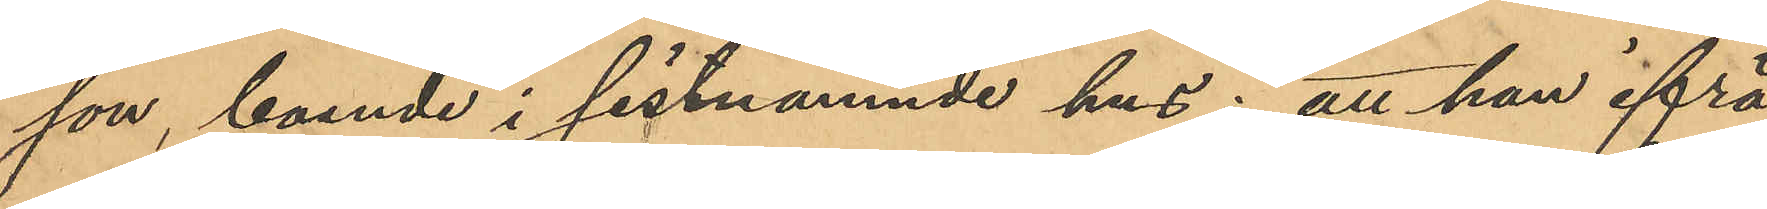son, boende i sistnämnde hus: att han ifrå¬
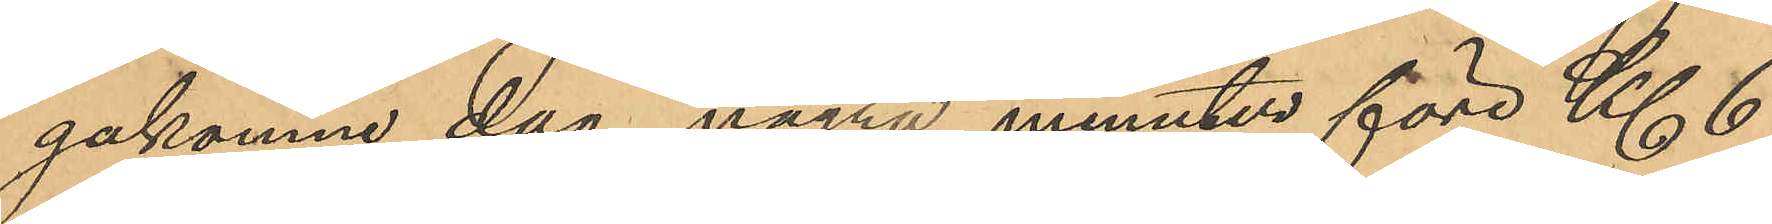gakomne dag några minuter före Kl 6
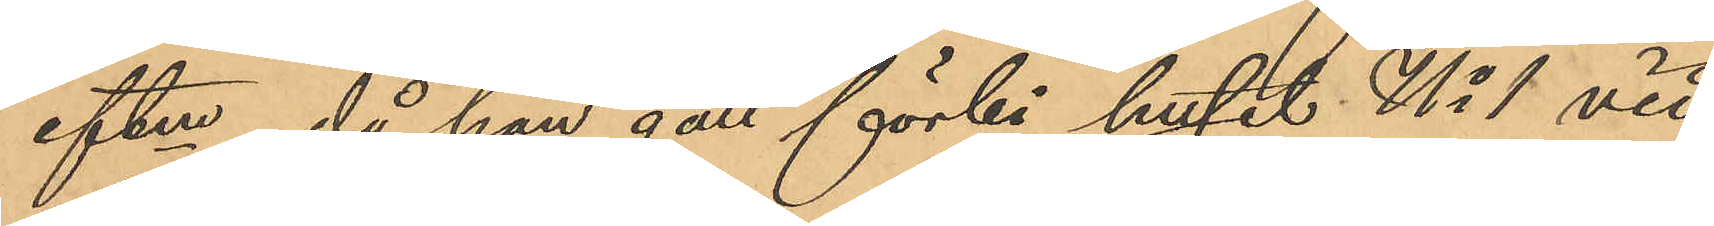eftm, då han gått förbi huset No 1 vid
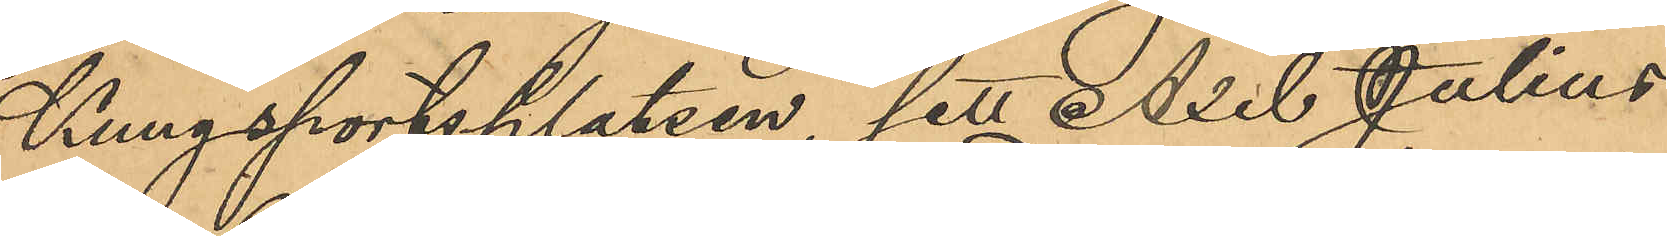Kungsportsplatsen sett Axel Julius
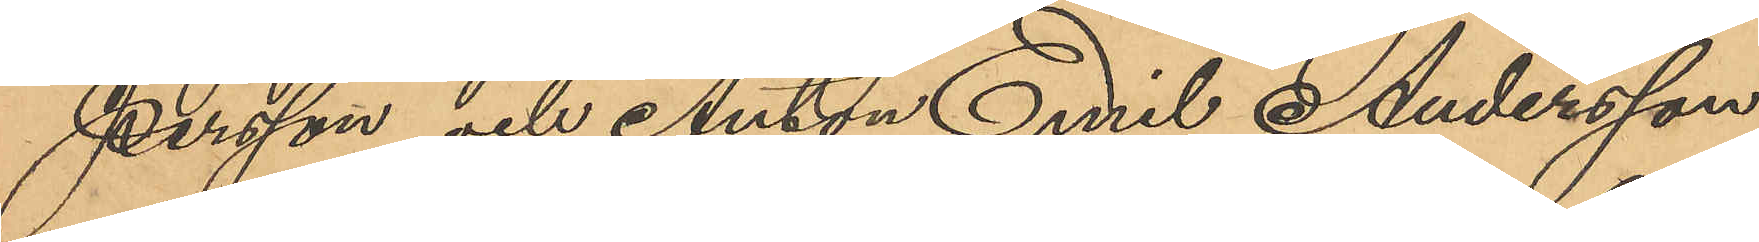Persson och Anton Emil Andersson
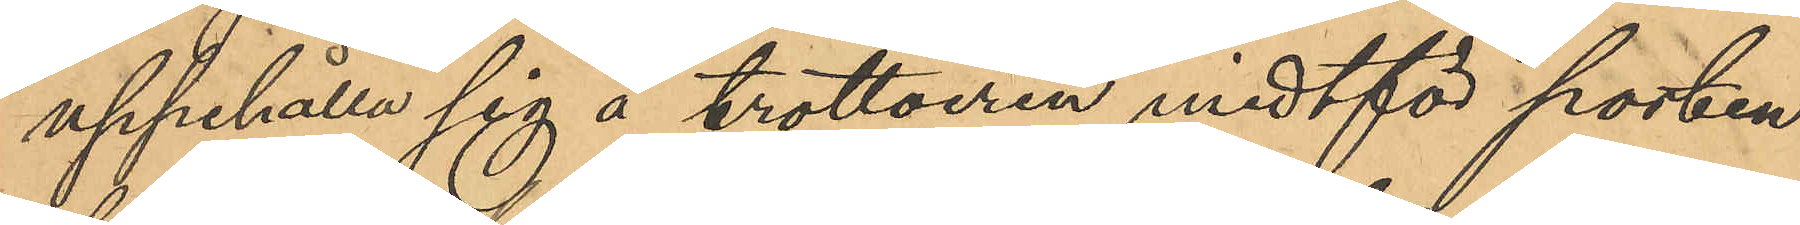uppehålla sig å trottoiren midtför porten
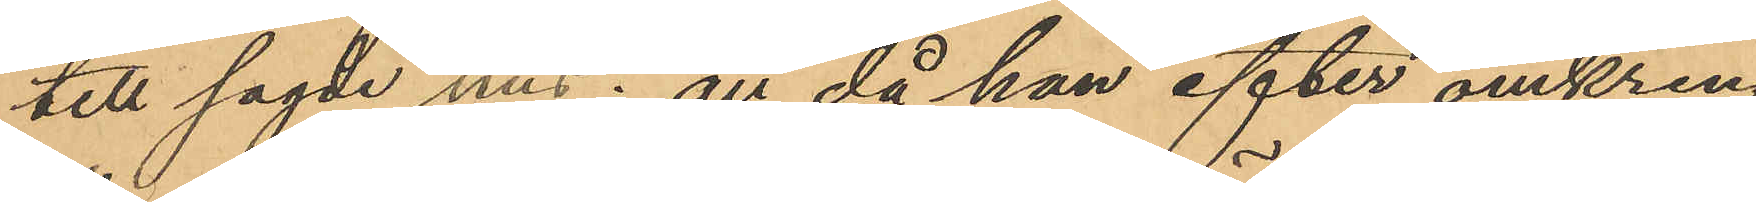till sagde hus; att då han efter omkring
